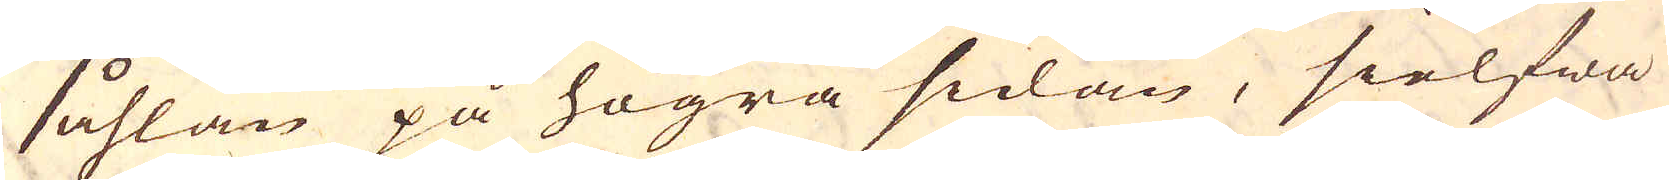såhlan på högra sidan, sielfwa
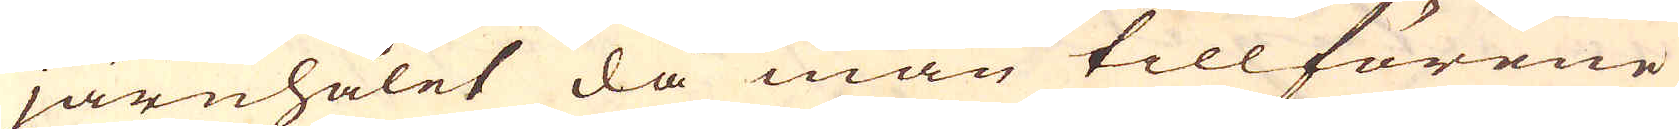järnhålet då man tillförene
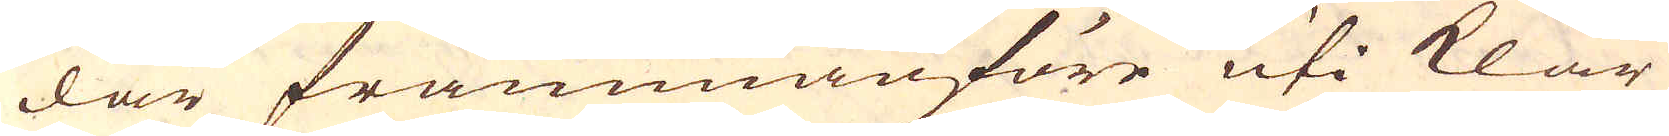där frammanföre uti klar
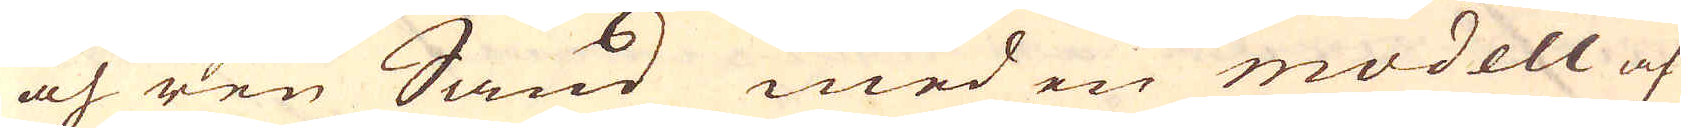och ren Sand med en modell af
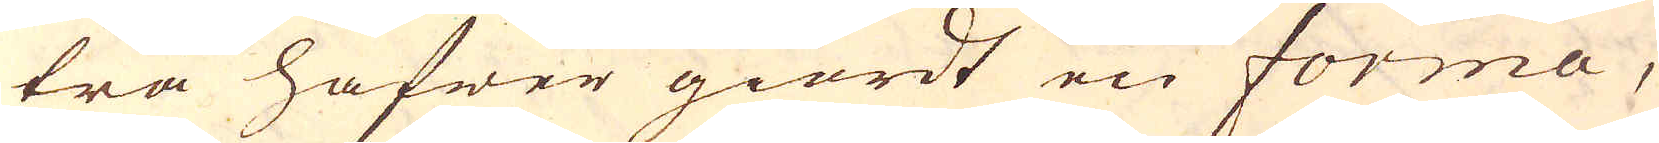trä hafwer giordt en forma,
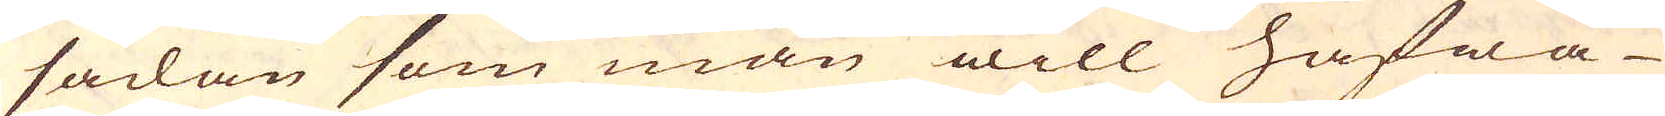sådan som man will hafwa
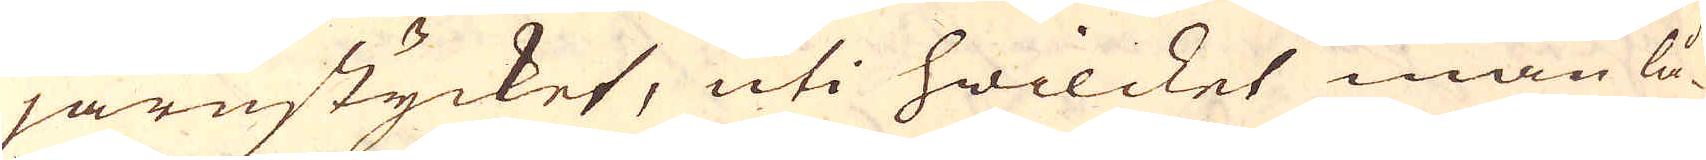järnstycket, uti hwilcket man lå-
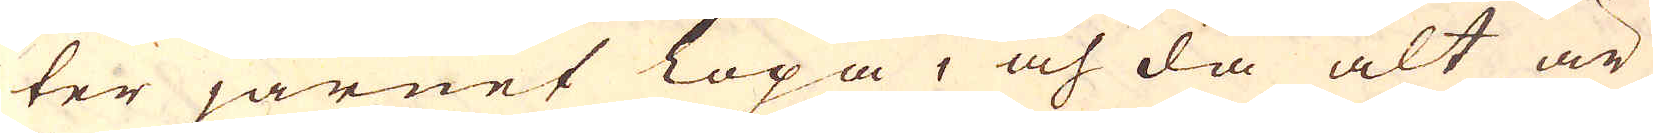ter järnet löpa, och då alt är
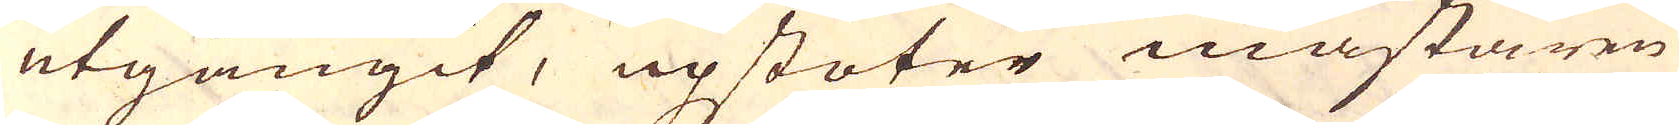utgångit, upstöter mästaren
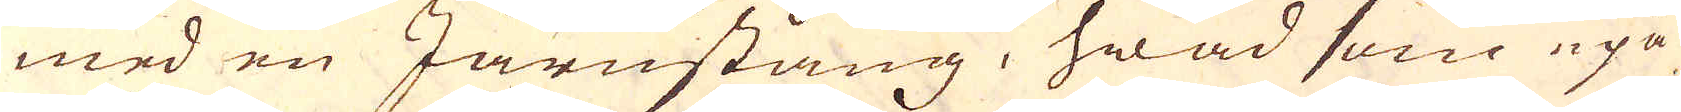med en Järnstång, hwad som upå
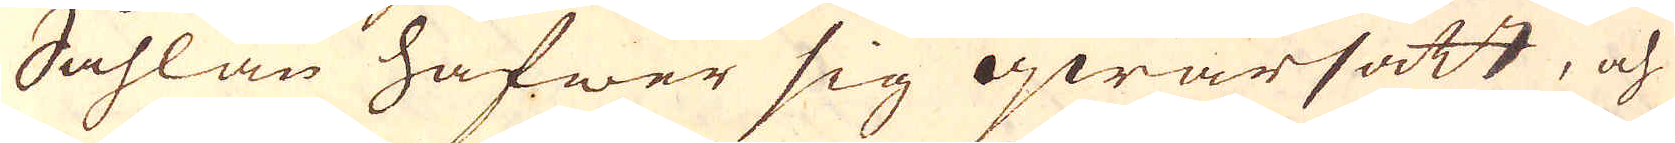Såhlan hafwer sig qwarsatt, och
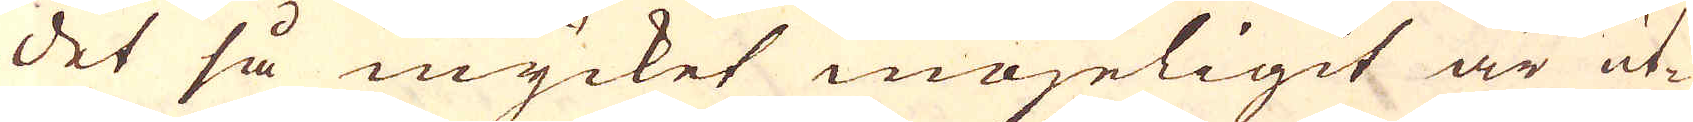det så mycket mögeligit är ut-
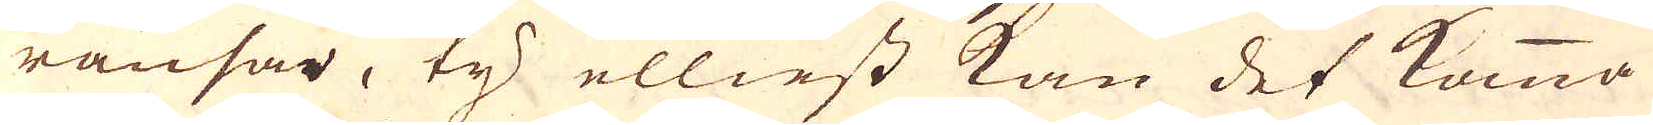ränsar, ty elliest kan det komma
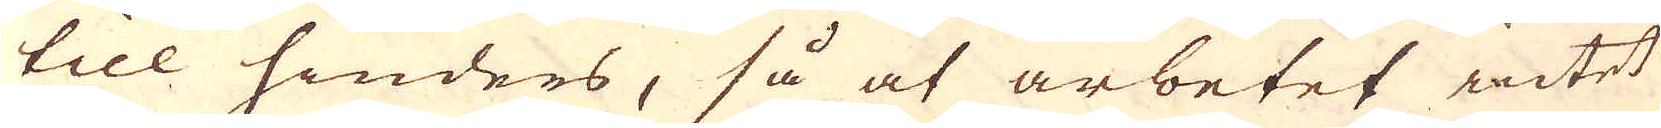till hinders, så at arbetet intet
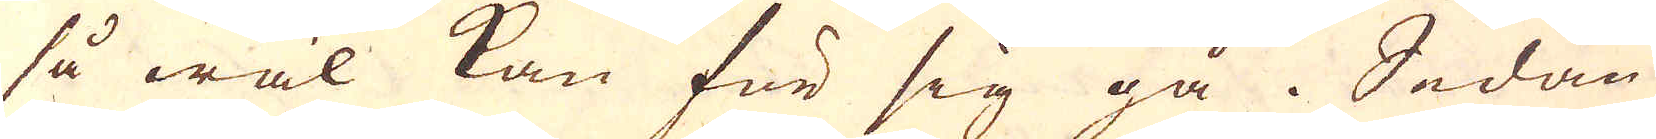så wäl kan för sig gå. Sedan
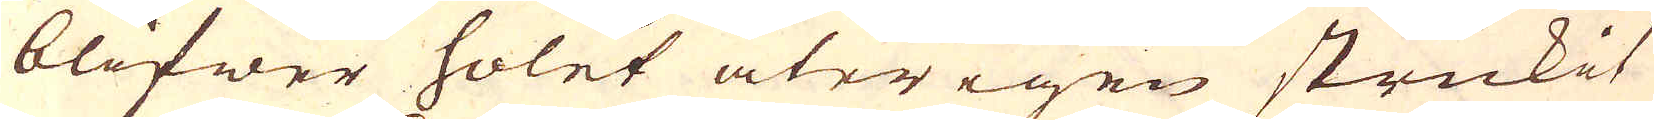blifwer holet återigen strukit
